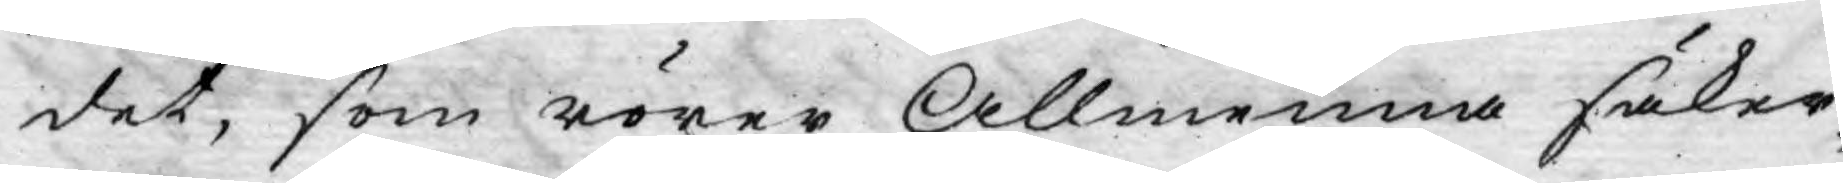det, som rörer Allmenna säker¬
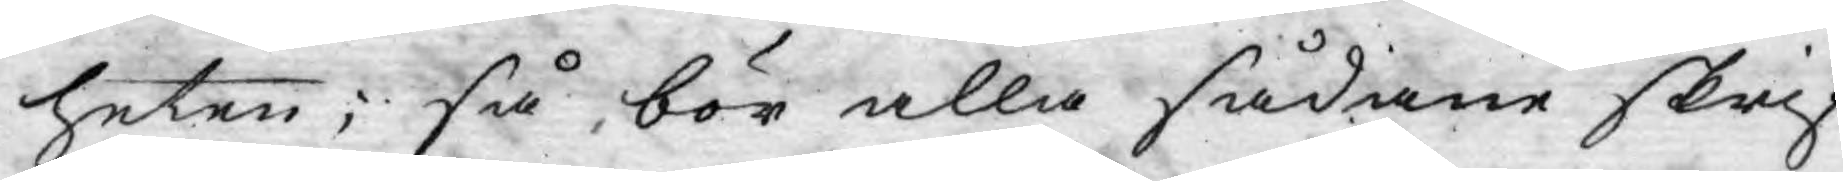heten, så bör alla sådane skrif¬
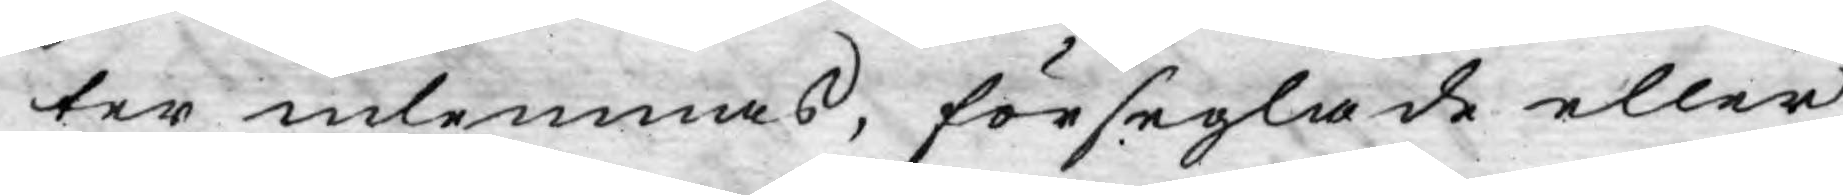ter inlemnas, förseglade eller
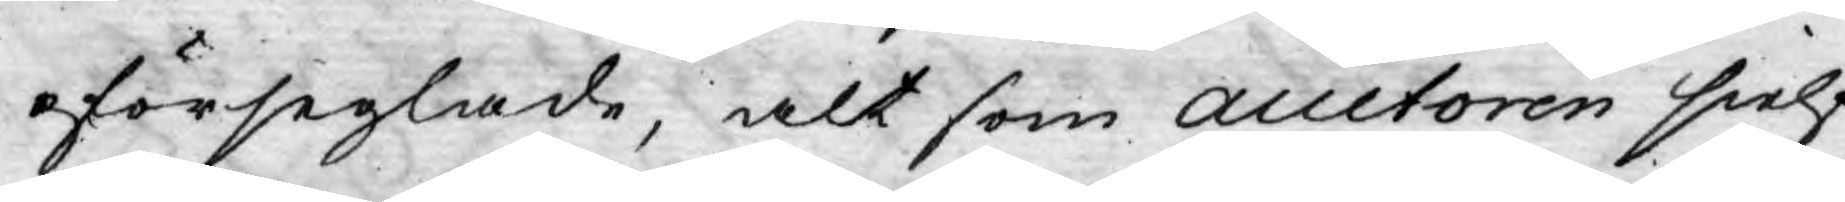oförseglade, alt som Auctoren sielf
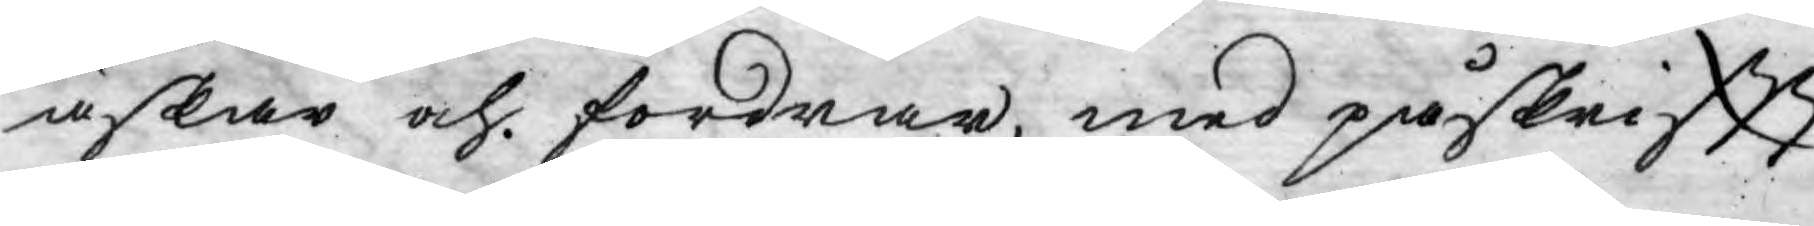äskar och fordrar, med påskriftt
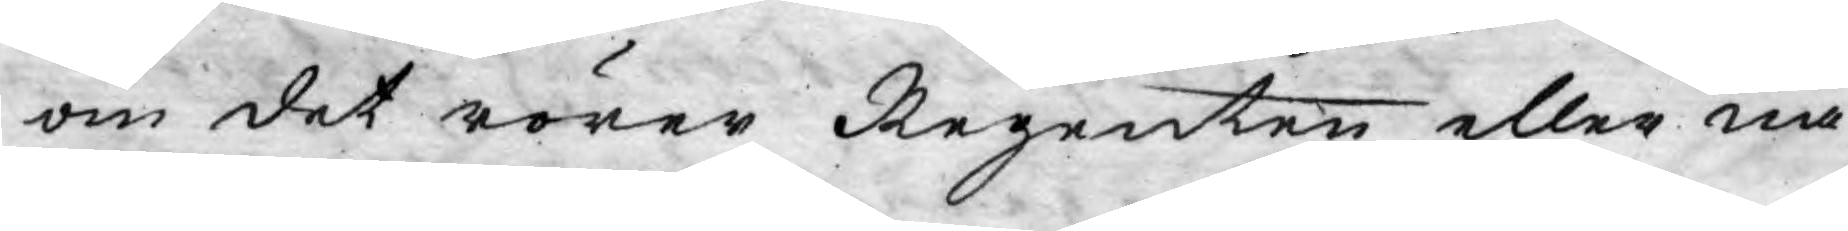om det rörer Regenten eller nå¬
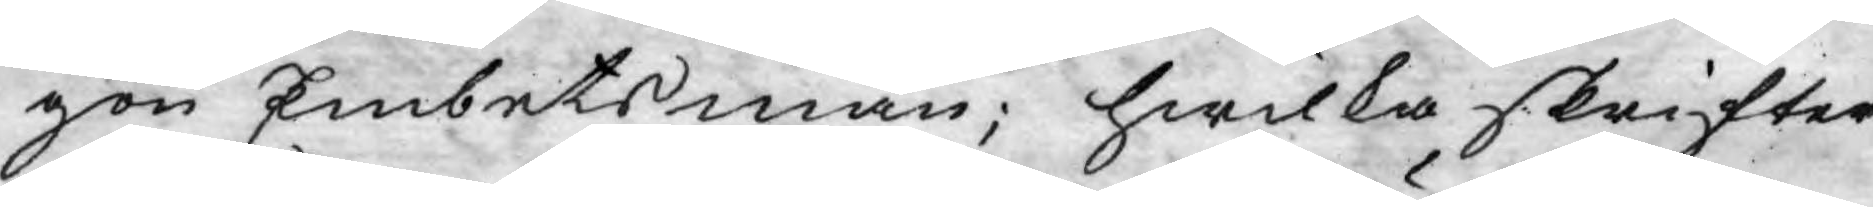gon Embetsman; hwilka skrifter
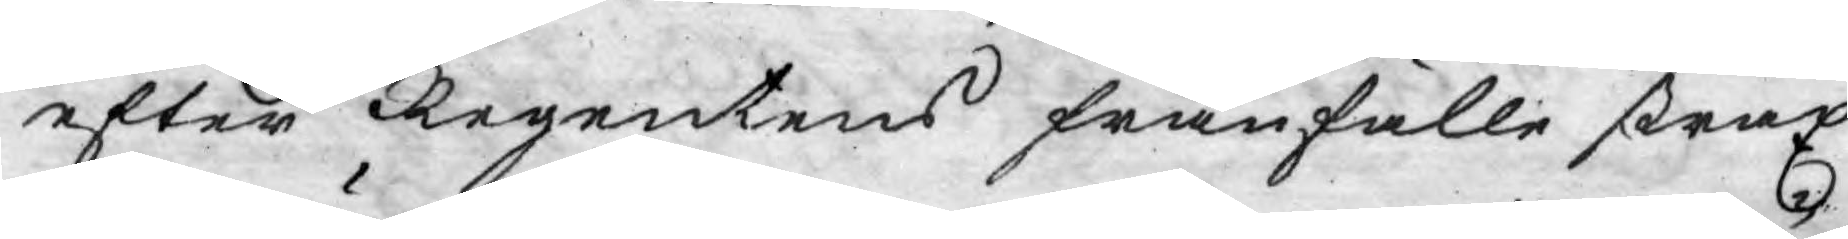efter Regentens frånfälle strax
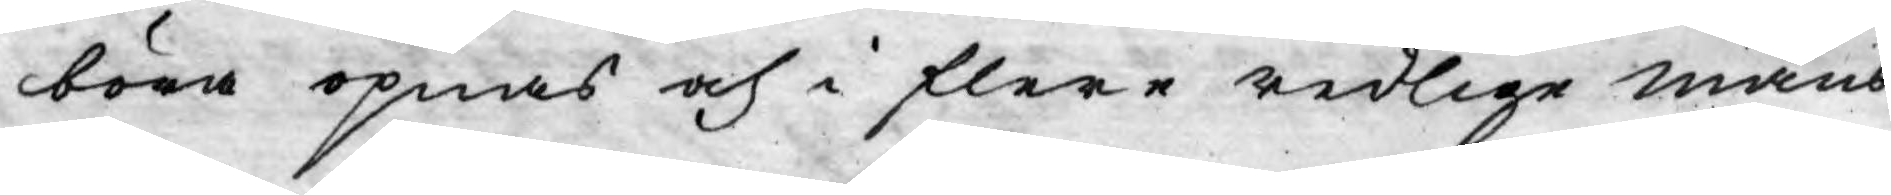böra öpnas och i flere redlige mäns
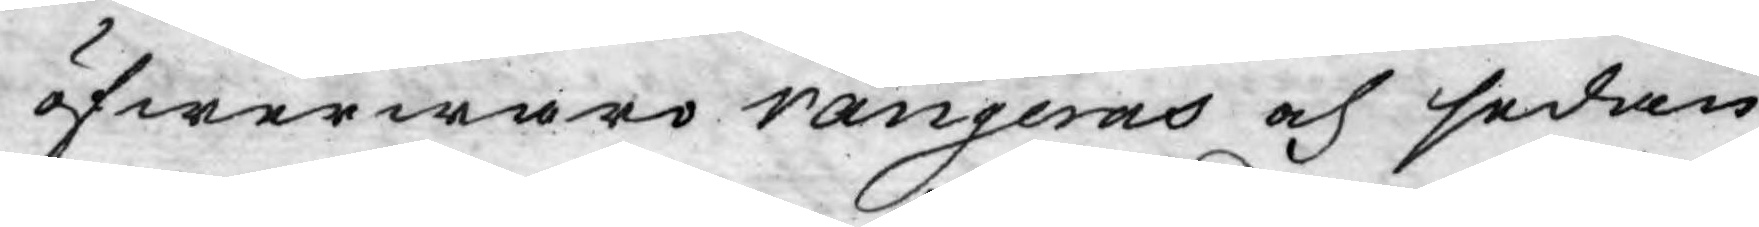öfwerwaro rangeras och sedan
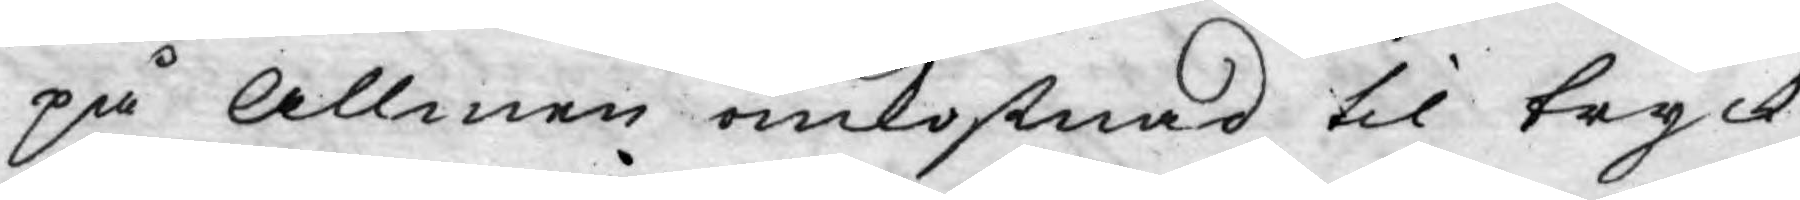på Allmen omkostnad til tryck
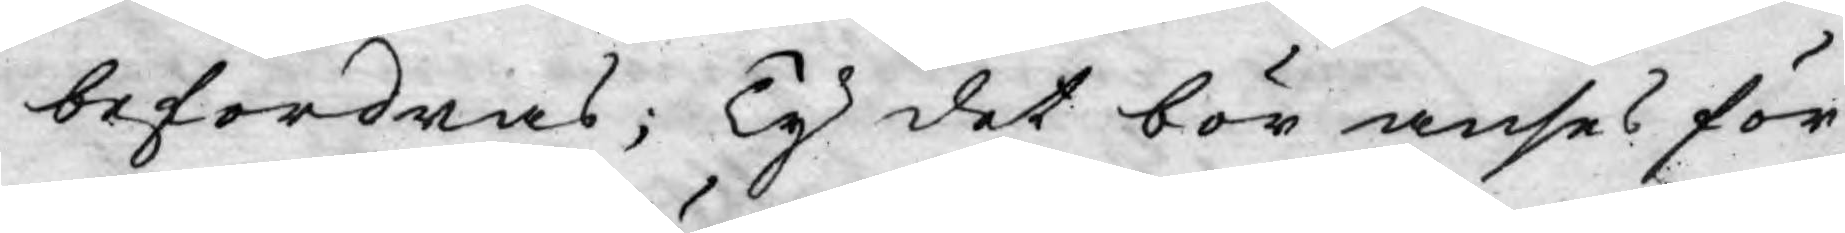befordras; Ty det bör anses för
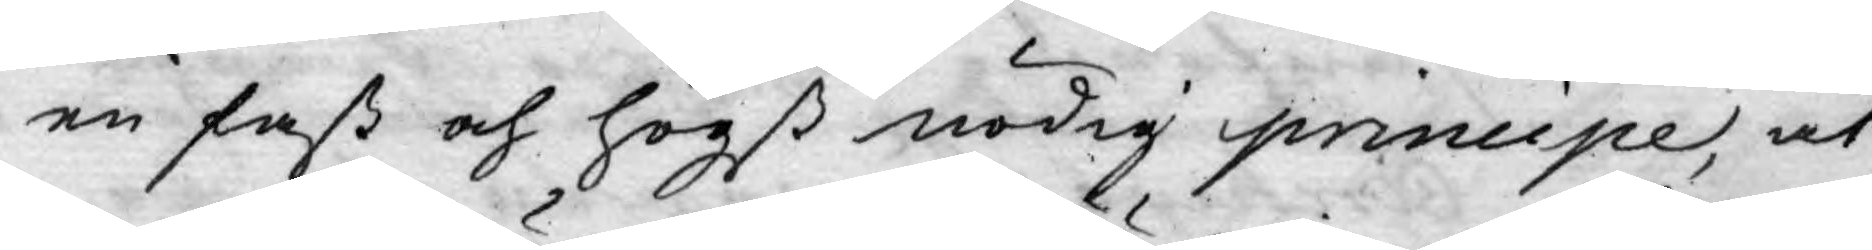en fast och högst nödig principe, at
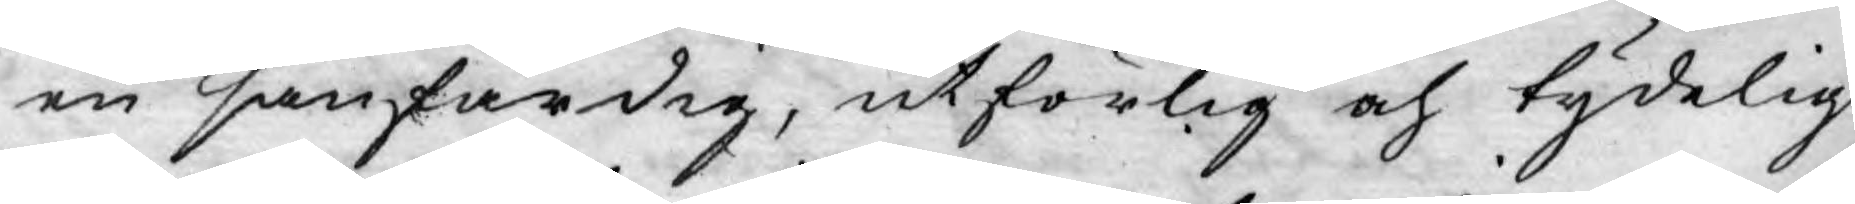en sanfärdig, utförlig och tydelig
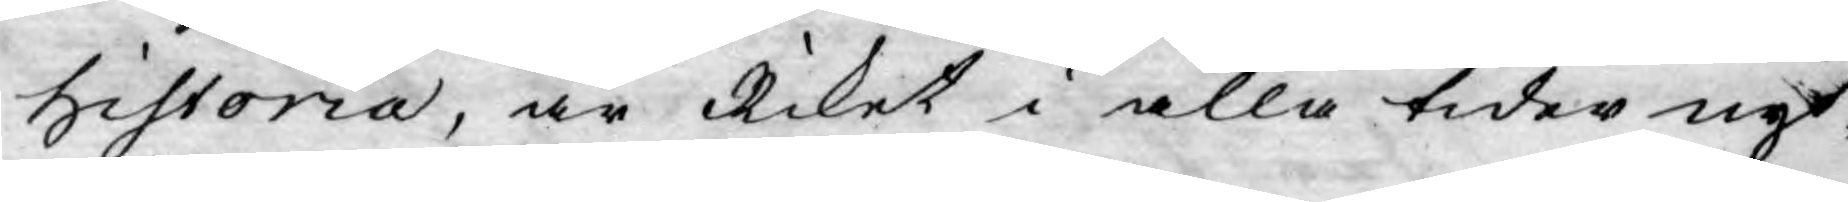historia, är Riket i alla tider nyt-
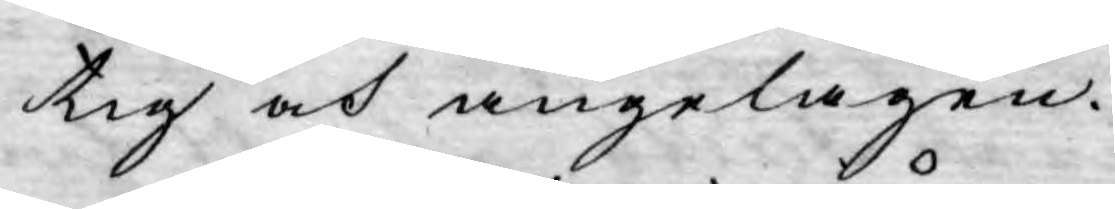tig och angelägen.
